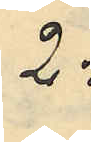2:
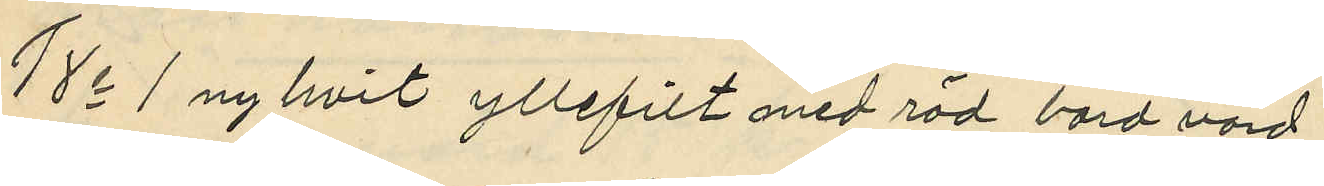18o 1 ny hvit yllefilt med röd bord värd
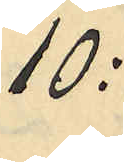10:
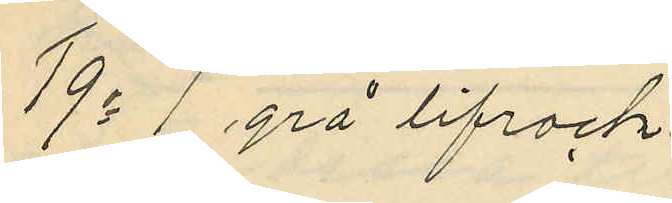19o 1 grå lifrock
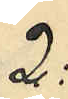2:
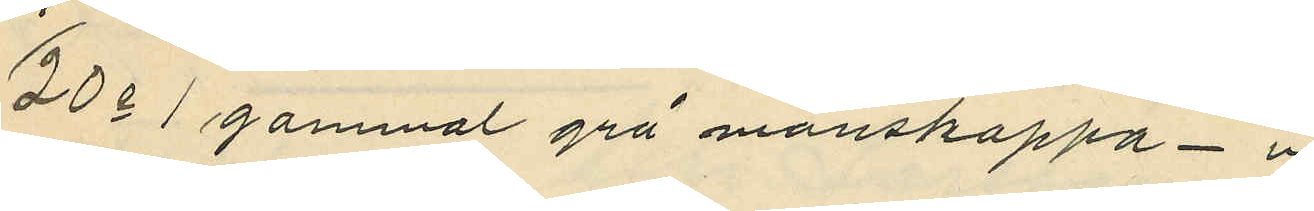20o 1 gammal grå manskappa "
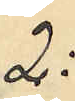2:
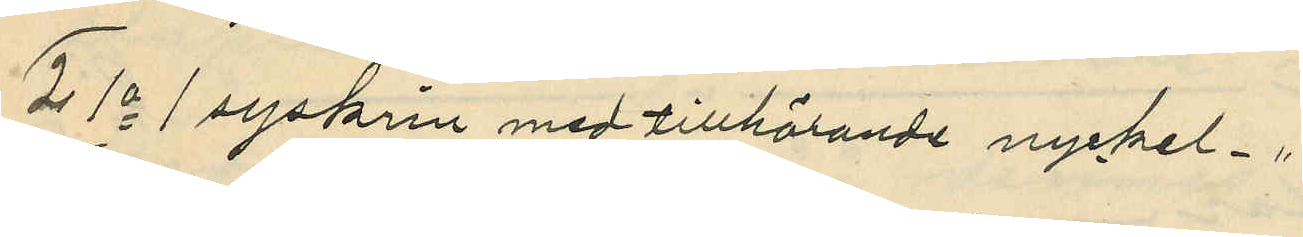21o 1 syskrin med tillhörande nyckel "
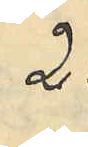2:
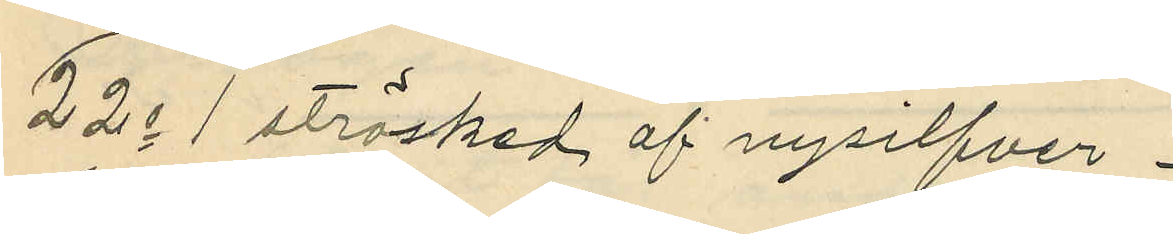22o 1 strösked af nysilfver
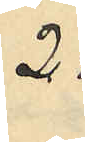2:
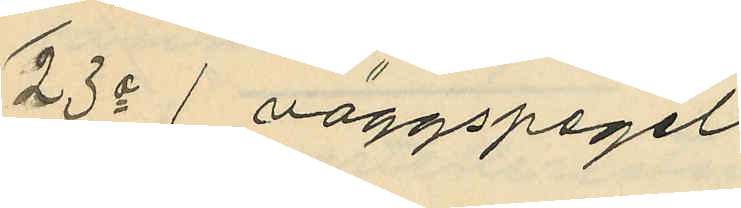23o 1 väggspegel
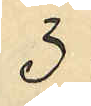3:
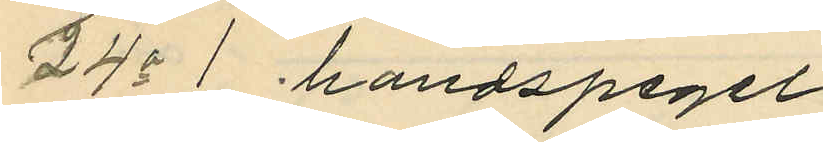24o 1 handspegel
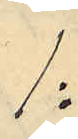1:
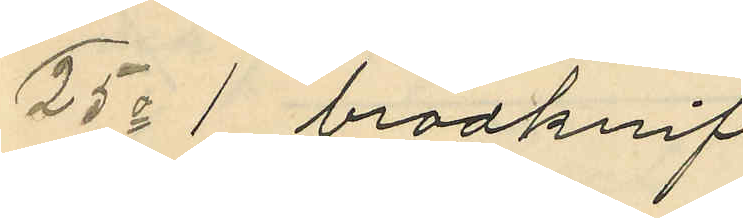25o 1 brödknif
